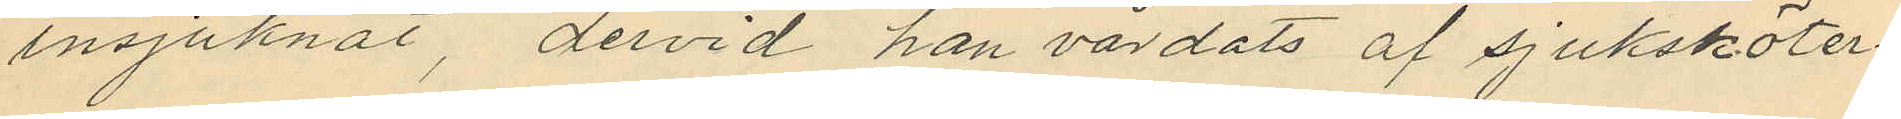insjuknat, dervid han vårdats af sjuksköter¬
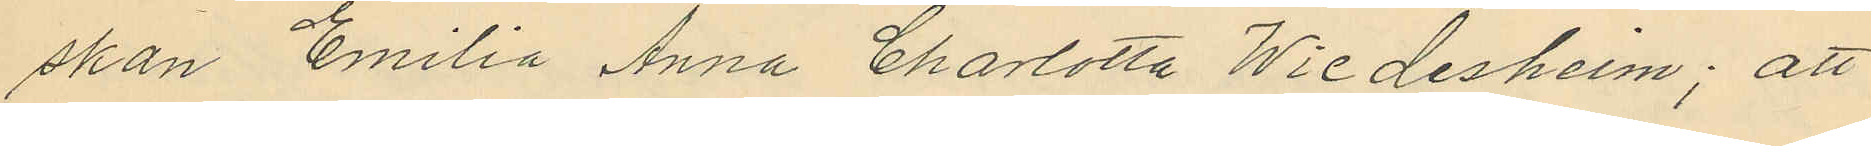skan Emilia Anna Charlotta Wiedesheim; att
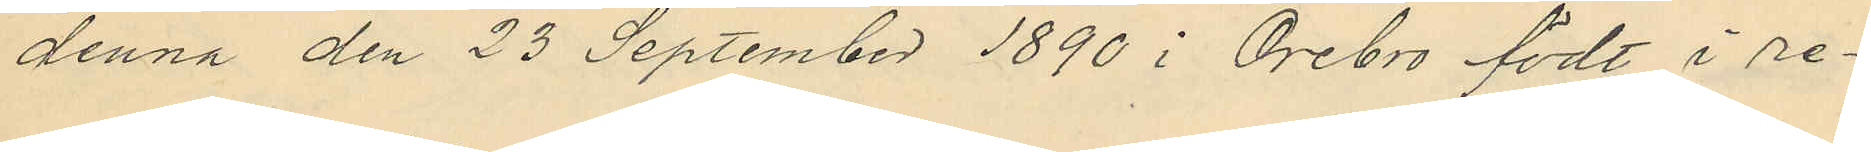denna den 23 September 1890 i Örebro födt i re¬
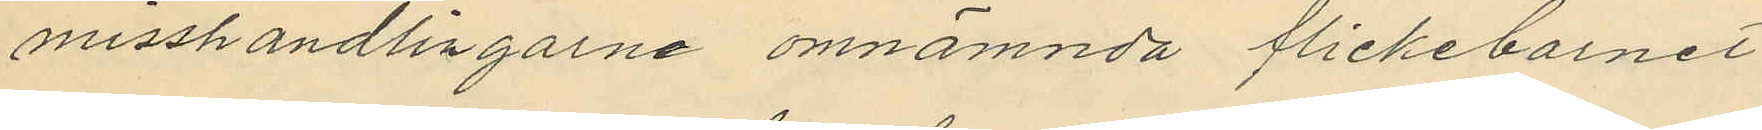misshandlingarne omnämnda flickebarnet
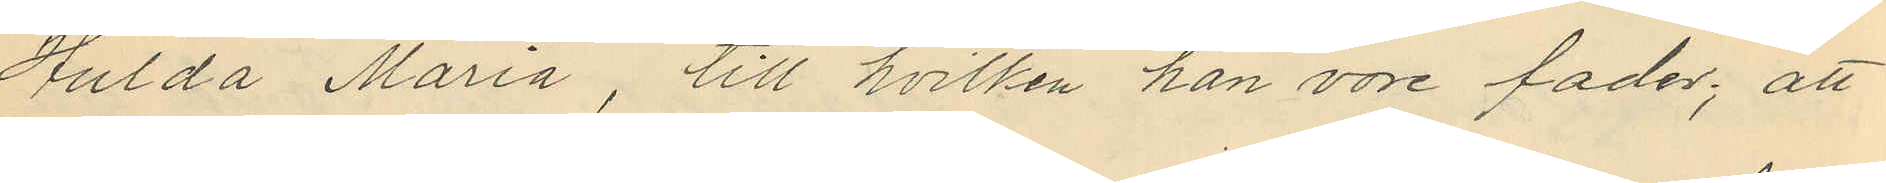Hulda Maria, till hvilken han vore fader; att
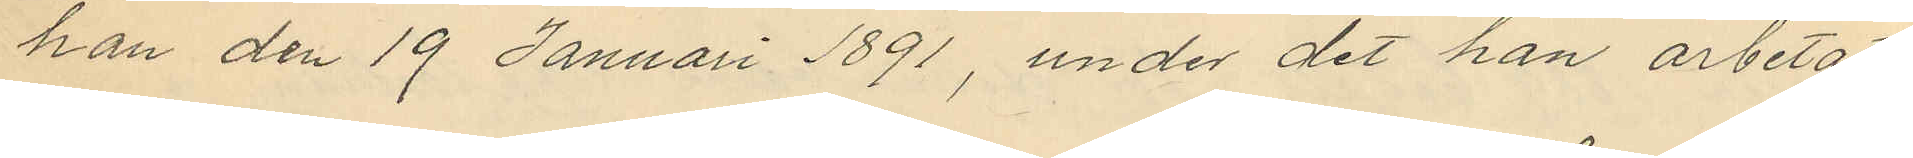han den 19 Januari 1891, under det han arbetat
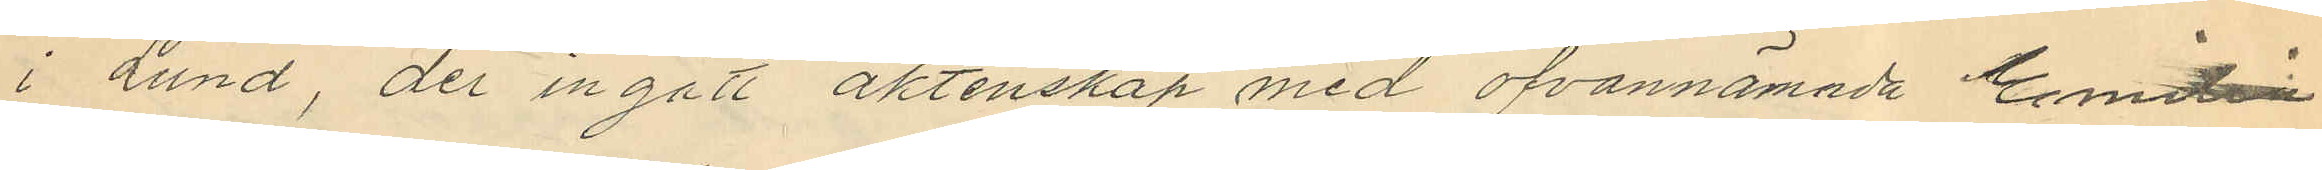i Lund der ingått äktenskap med ofvannämnda Emilia
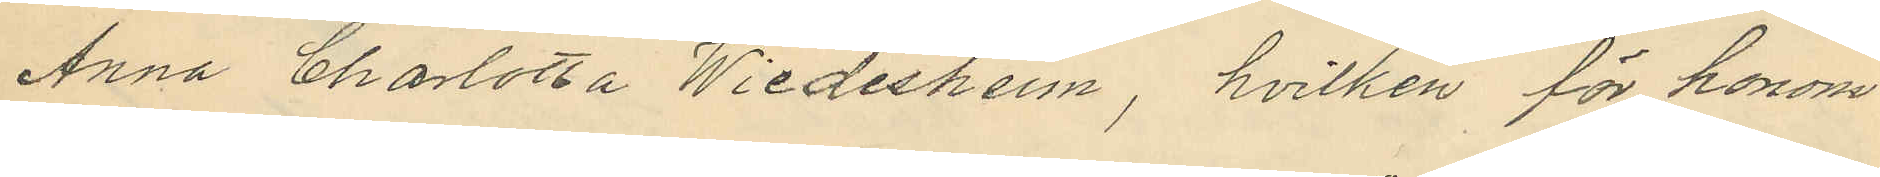Anna Charlotta Wiedesheim, hvilken för honom
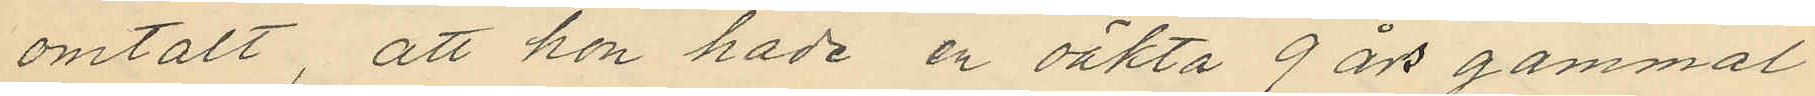omtalt, att hon hade en oäkta 9 år gammal
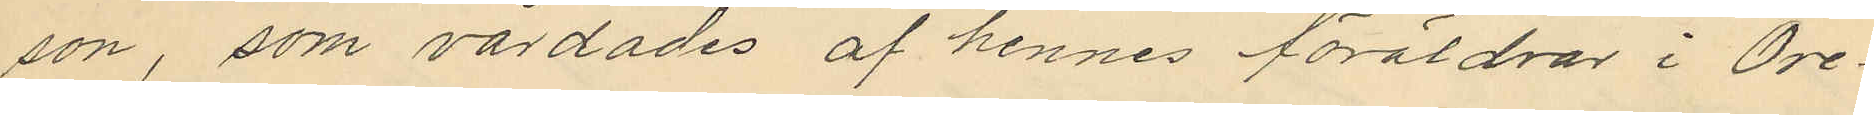son, som värdades af hennes föräldra i Öre¬
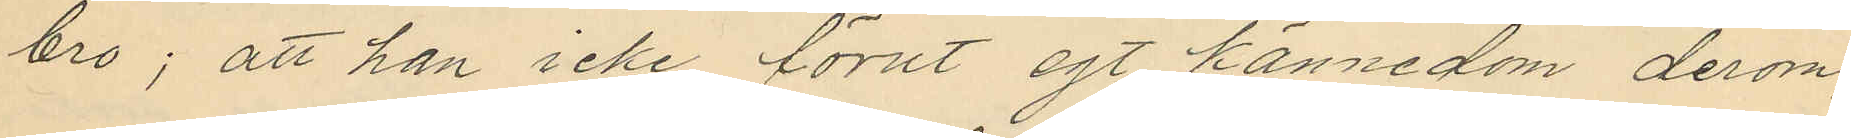bro; att han icke förut egt kännedom derom,
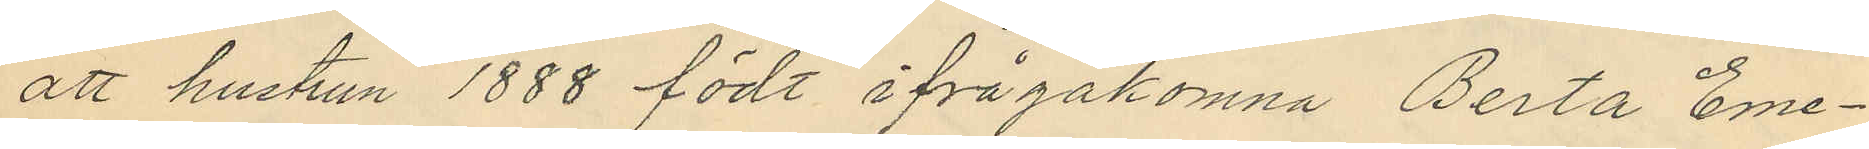att hustrun 1888 födt ifrågakomna Berta Eme¬
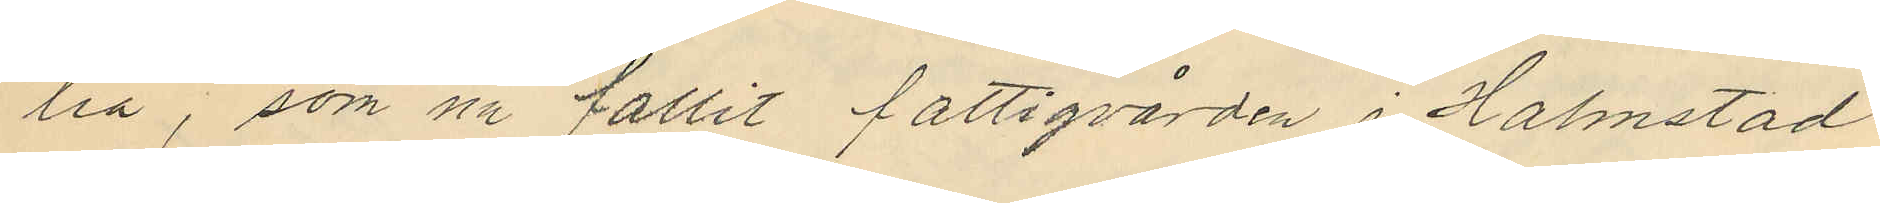lia, som nu fallit fattigvården i Halmstad
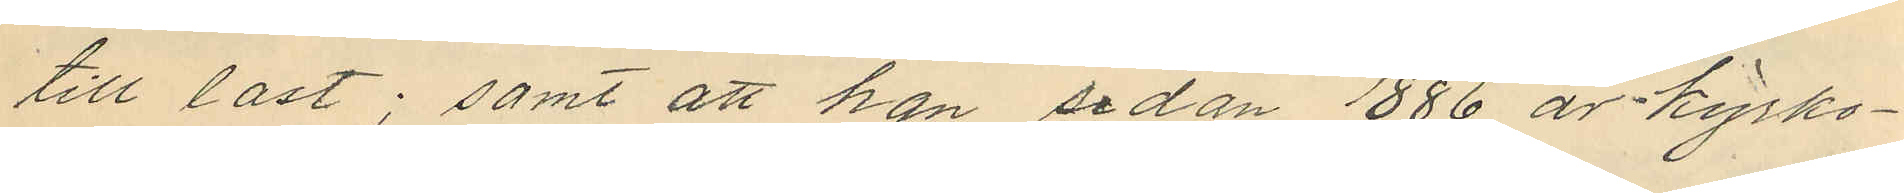till last; samt att han sedan 1886 är kyrko¬
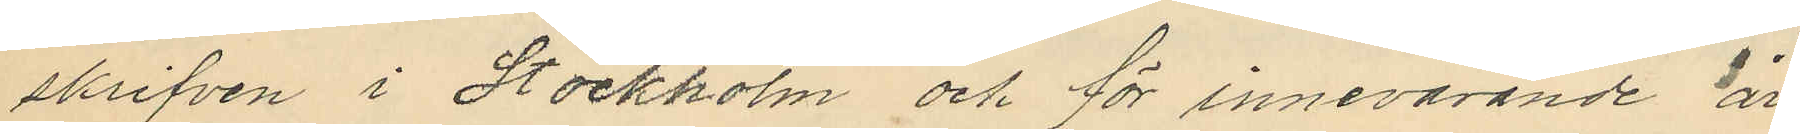skrifven i Stockholm och för innevarande år
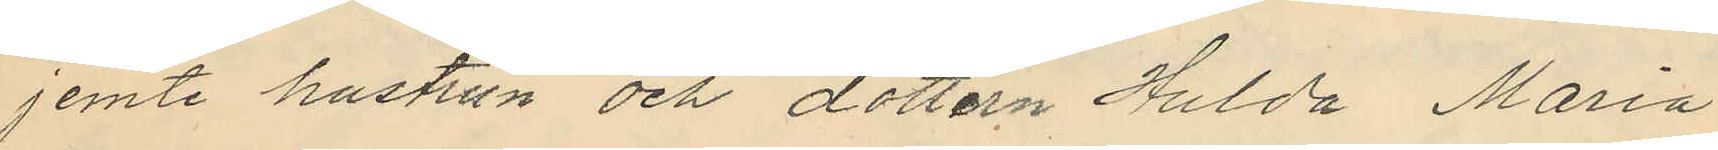jemte hustrun och dottern Hulda Maria
